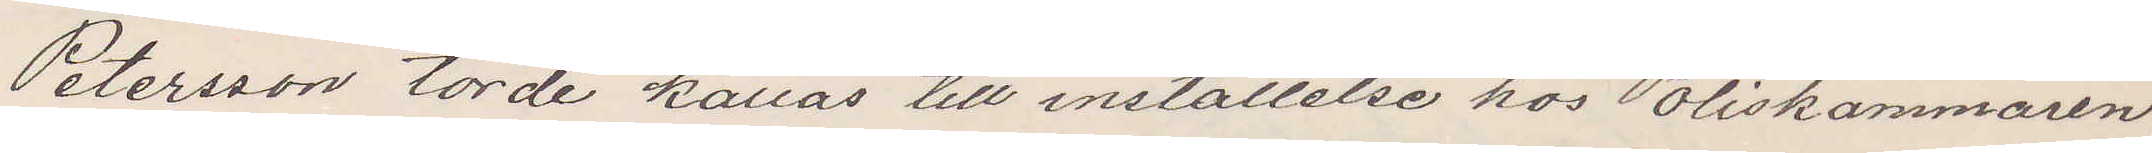Petersson torde kallas till inställelse hos Poliskammaren
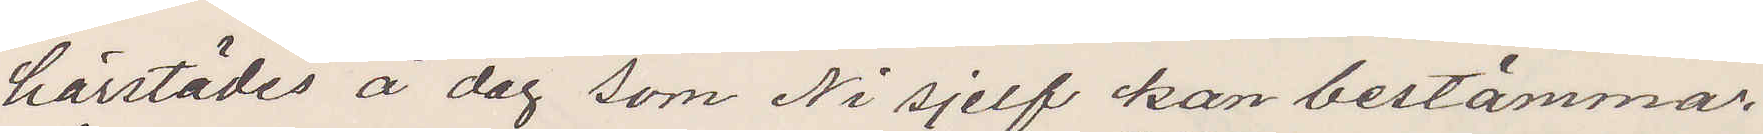härstädes å dag som Ni sjelf kan bestämma
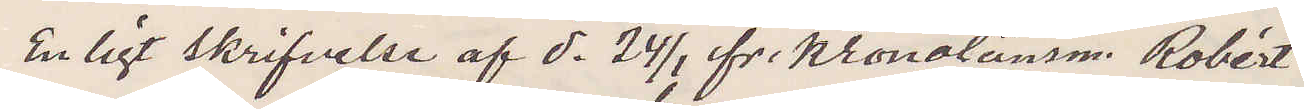Enligt skrifvelse af d. 24/1 fr Kronolänsm. Robért
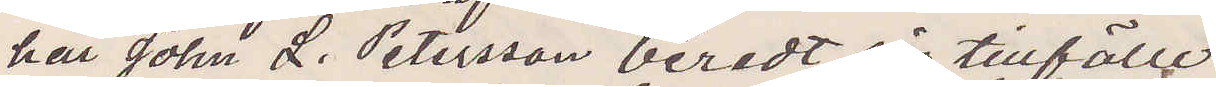har John L. Petersson beredt sig tillfälle
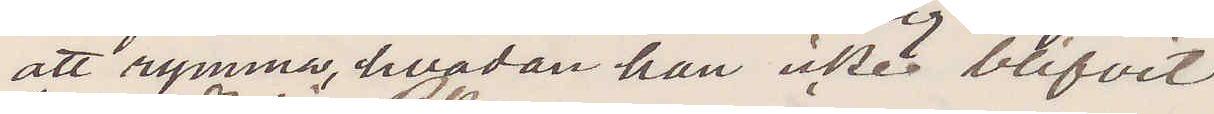att rymma, hvadan han icke blifvit
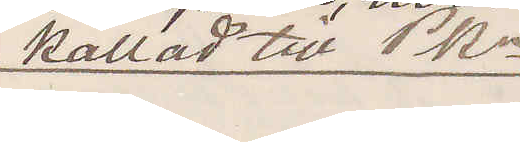kallad till PKn.
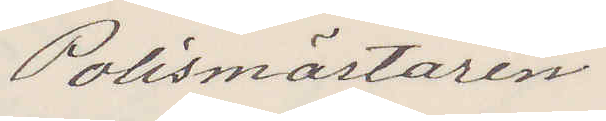Polismästaren
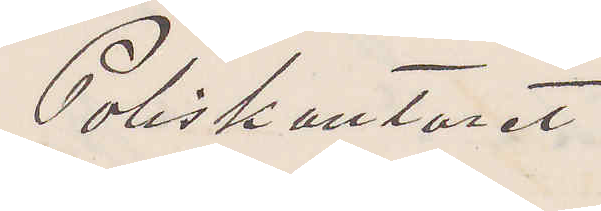Poliskontoret
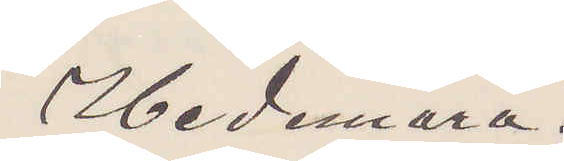Hedemora.
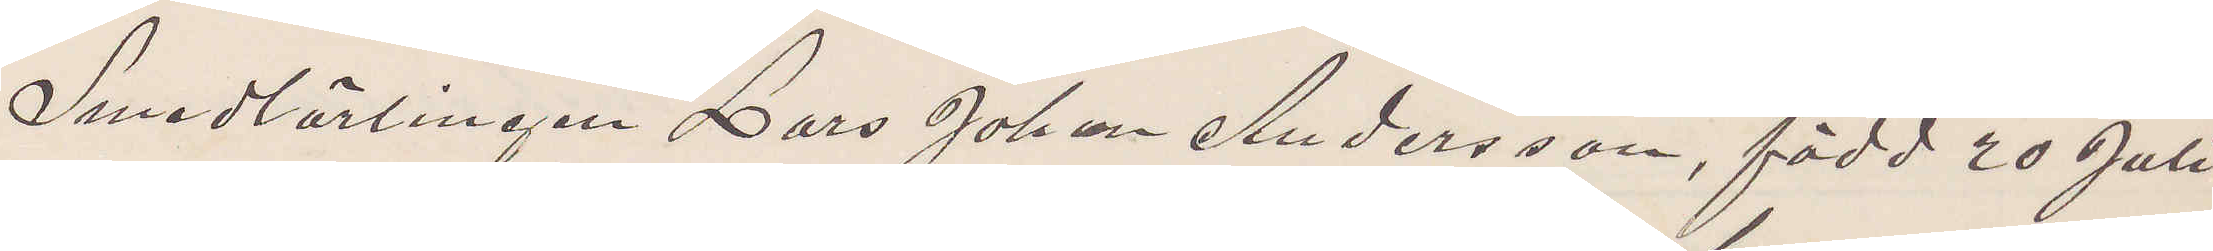Smedlärlingen Lars Johan Andersson, född 20 Juli
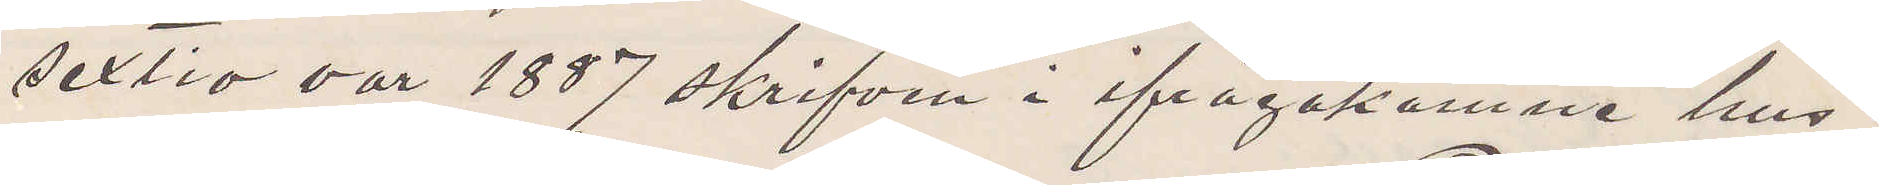sextio var 1887 skrifven i ifrågakomne hus.
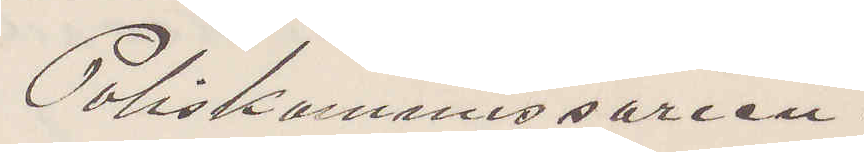Poliskommissarien.
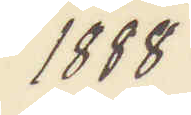1888
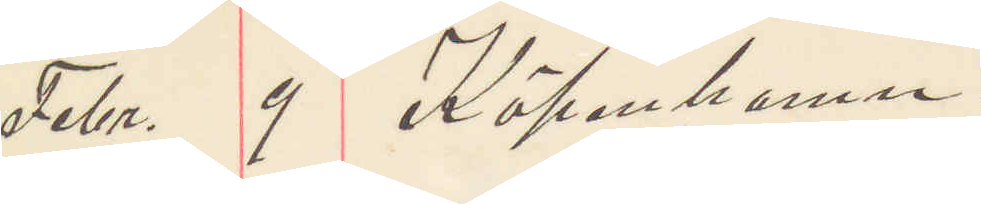Febr. 9 Köpenhamn.
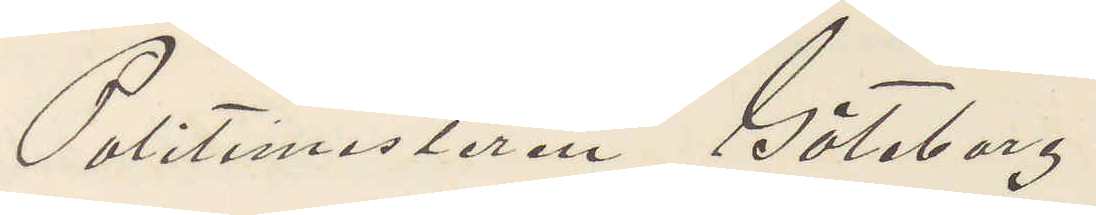Politimästaren Göteborg.
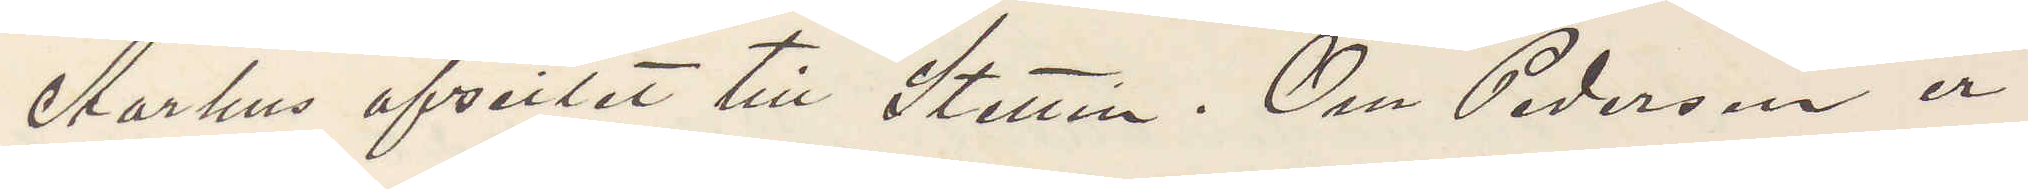Aarhus afsreiset till Stettin. Om Pederson er
